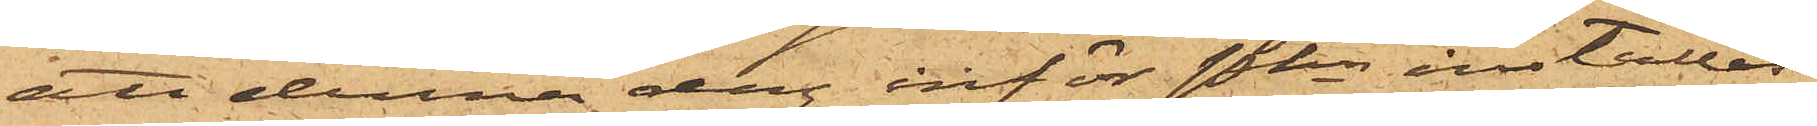att denna dag inför Pkn inställas
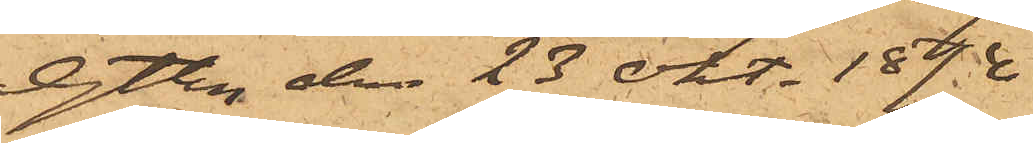Gtbg den 23 Okt. 1874
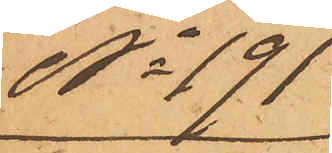No 191
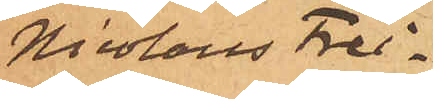Nicolaus Frei¬
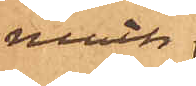moth
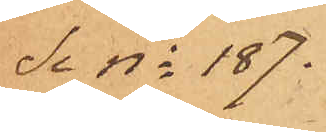Se No 187.
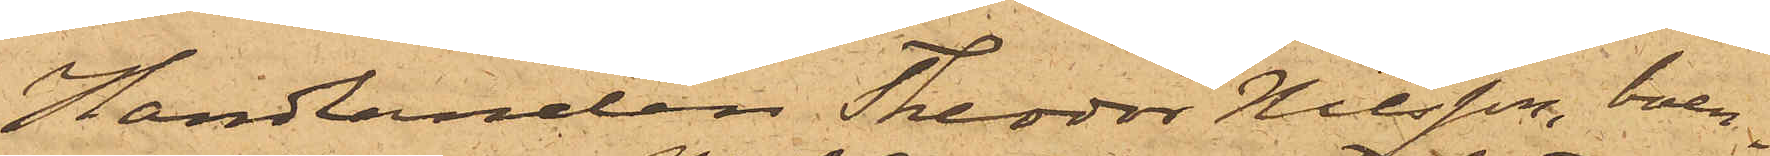Handlanden Theodor Nilsson, boen¬
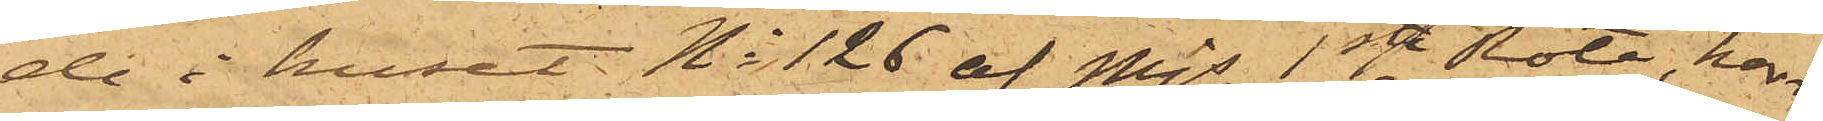de i huset No 126 af Majs 1ste Rote, har
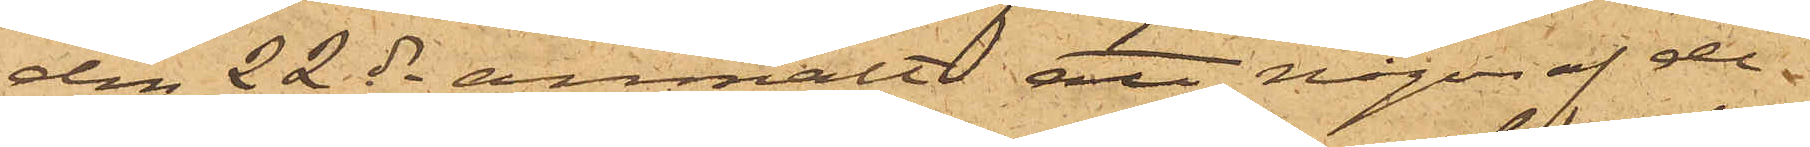den 22 ds anmält att någon af der¬
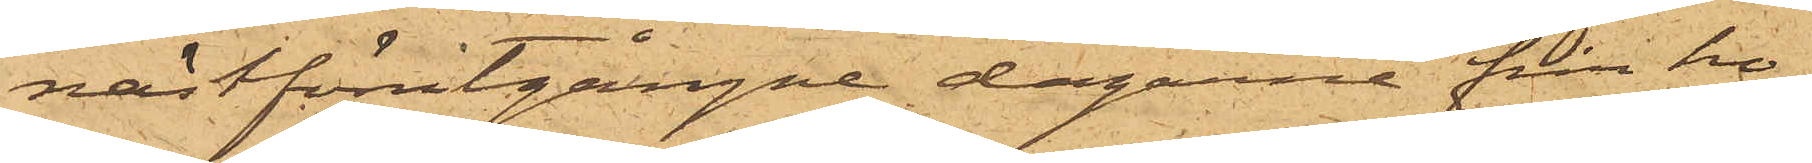nästförutgångne dagarne från ho¬
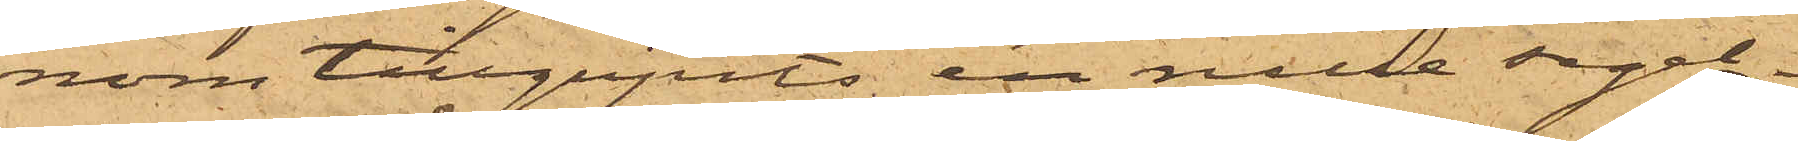nom tillgripits en rulle segel¬
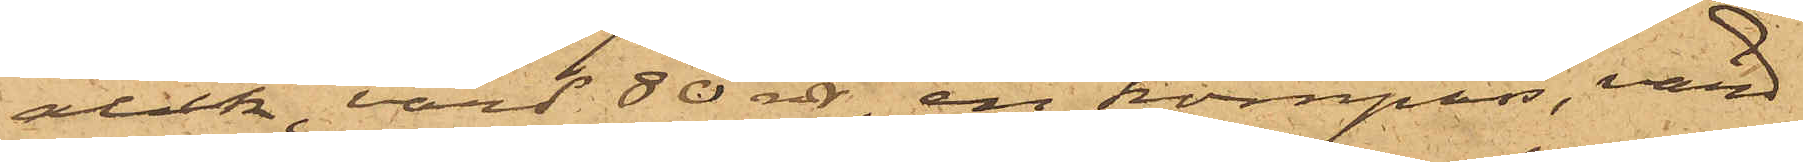duk, värd 80 rdr, en kompass, värd
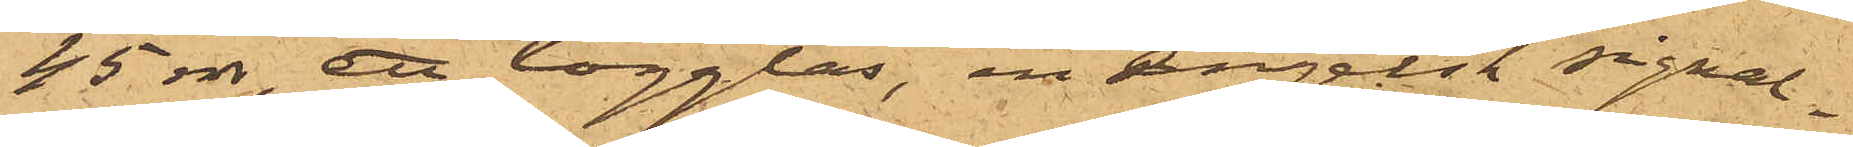45 rdr, ett logglas, en engelsk signal¬
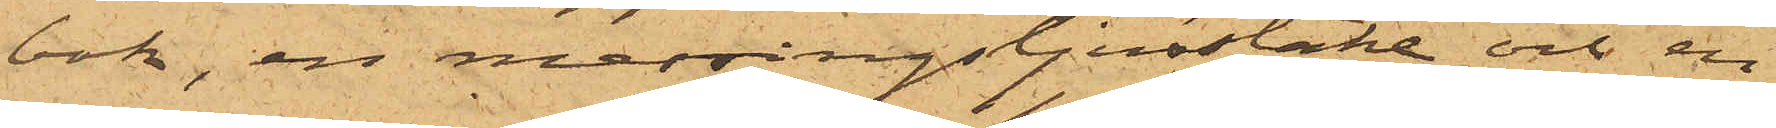bok, en messingsljusstake och en
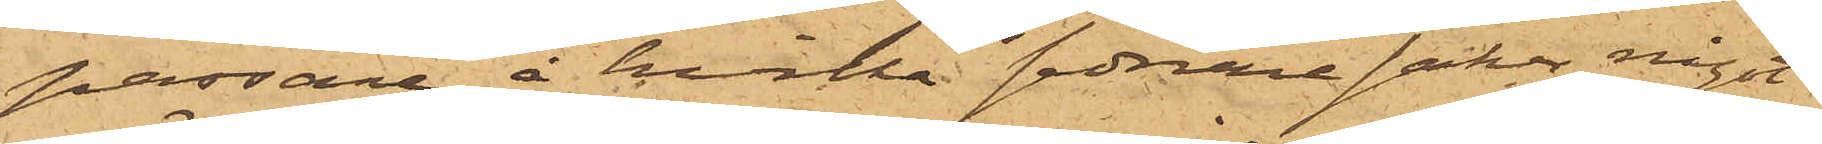passare, å hvilka sednare saker något
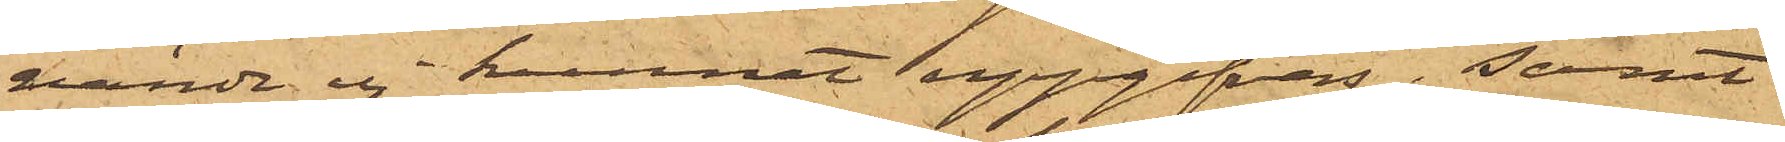värde ej kunnat uppgifvas; samt
